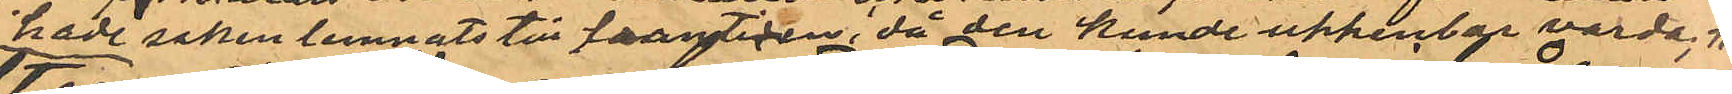hade saken lemnats till framtiden, då den kunde uppenbar varda; #
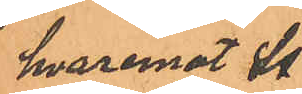hvaremot St.
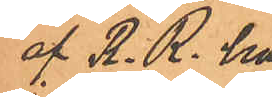af R. R. här
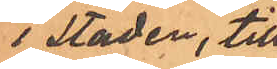i staden, till
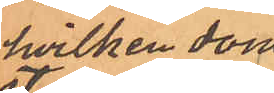hvilken dom¬
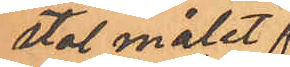stol målet fr.
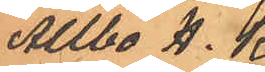Allbo H.K
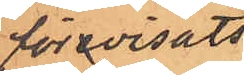förevisats,
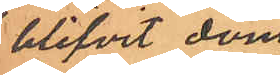blifvit dömd
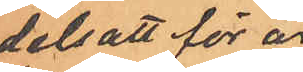dels att för äre¬
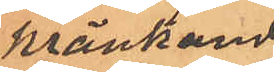kränkande
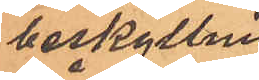beskyllning
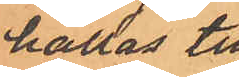hållas till
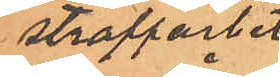straffarbete
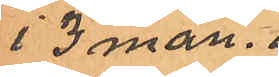i 3 mån. o.
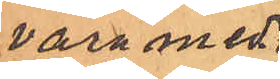vara medb.
